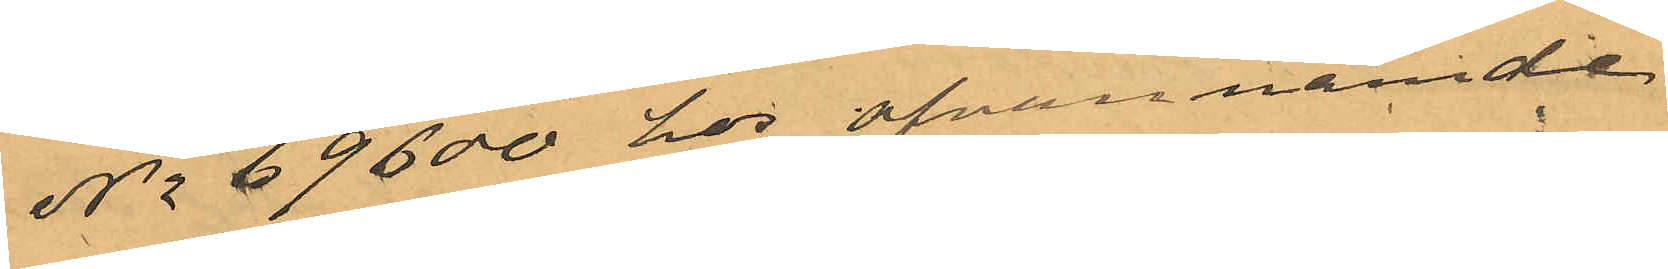No 69600 hos ofvannämde
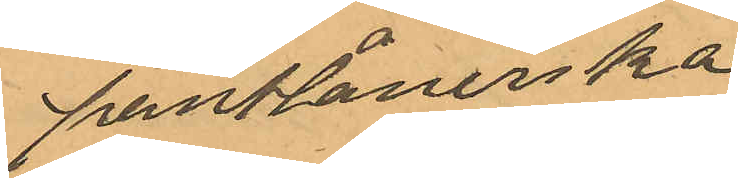pantlånerska
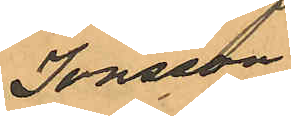Jonsson
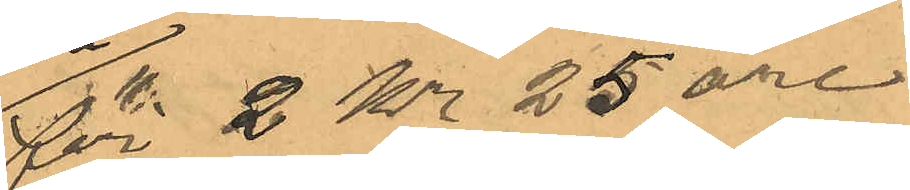för 2 Kr 25 öre
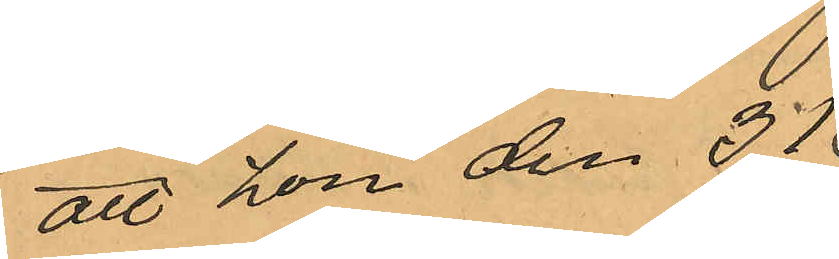att hon den 31
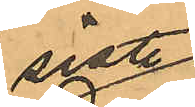sist
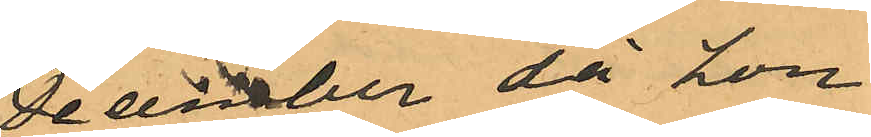December då hon
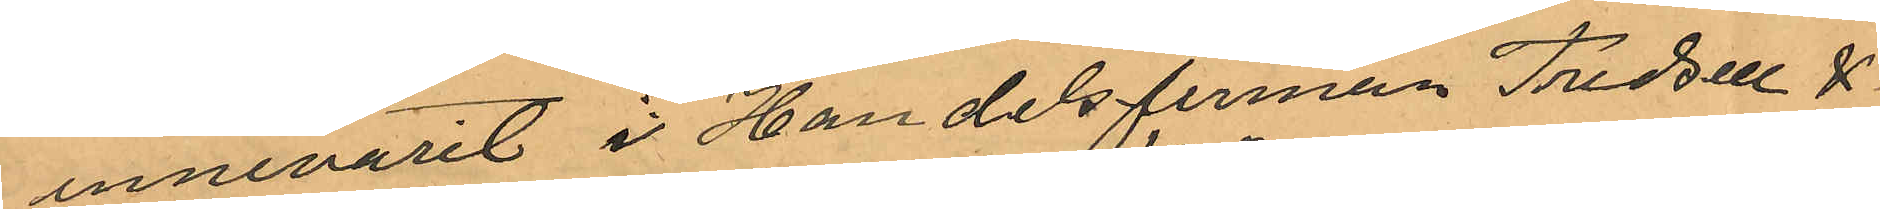innevarit i Handelsfirman Fredsell &
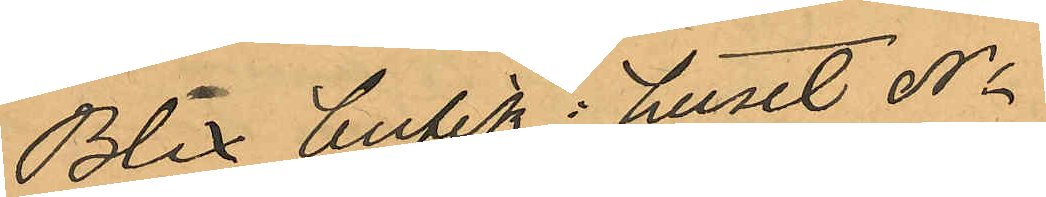Blix butik i huset No
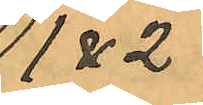1 & 2
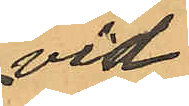vid
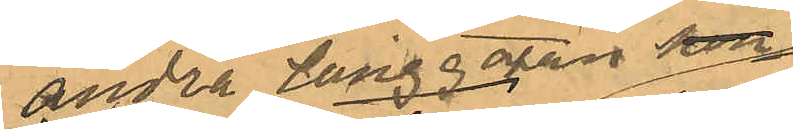andra Långgatan som
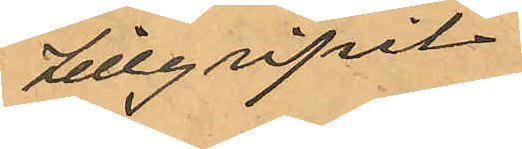tillgripit
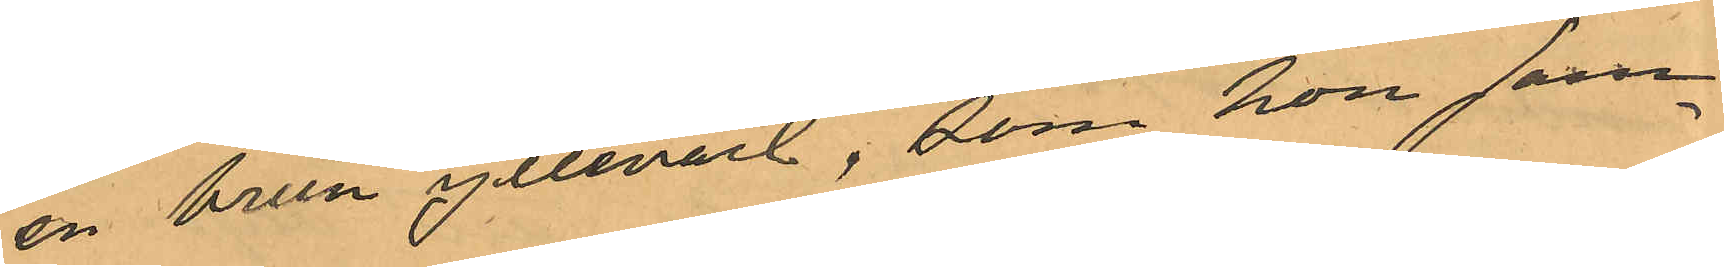en brun ylleväst, som hon sam¬
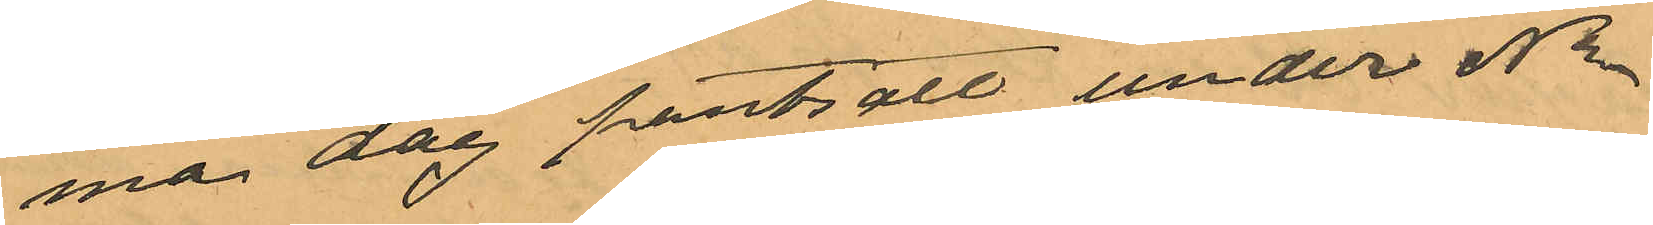ma dag pantsatt under No
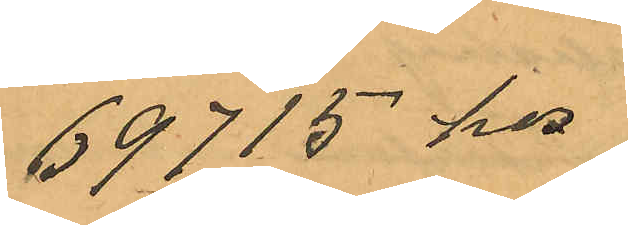69715 hos
